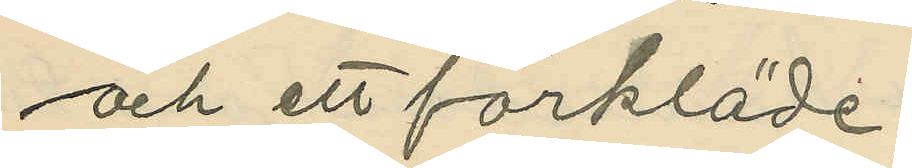och ett förkläde;
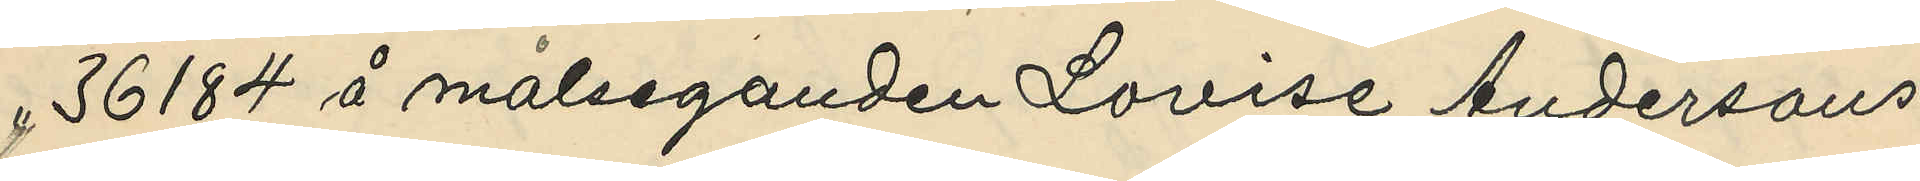" 36184 å målseganden Lovise Andersons
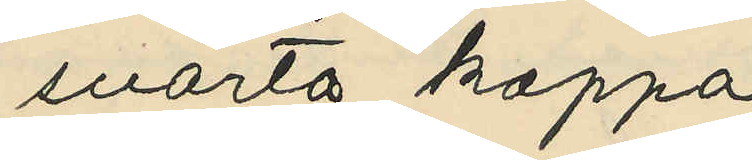svarta kappa
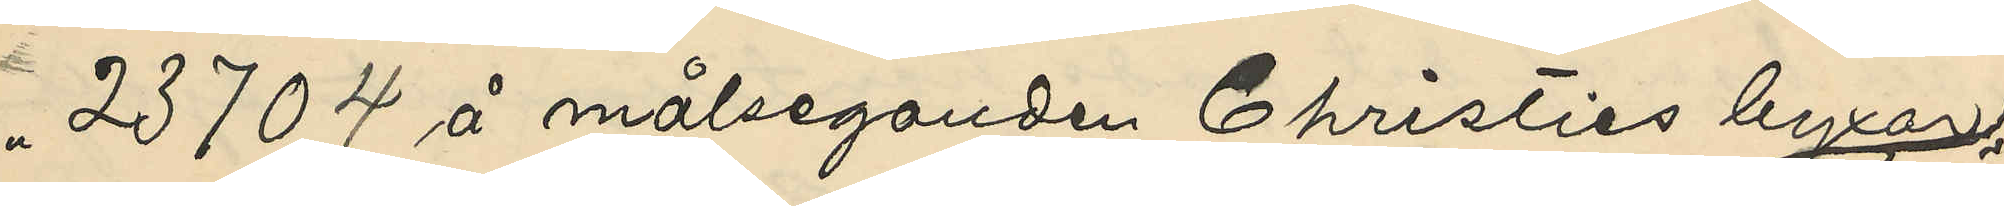" 23704 å målseganden Christies byxor
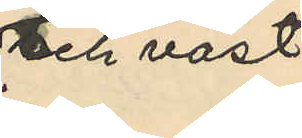och väst
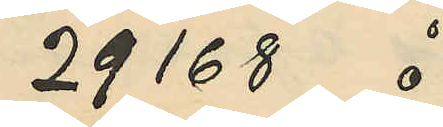29168 å
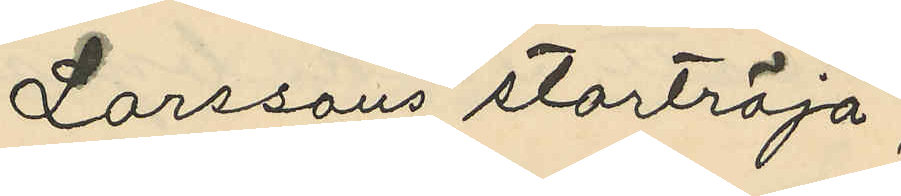Larssons stortröja;
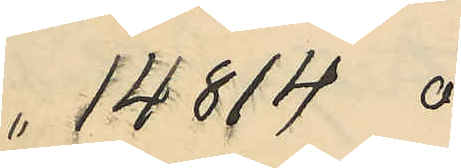 " 14814 å
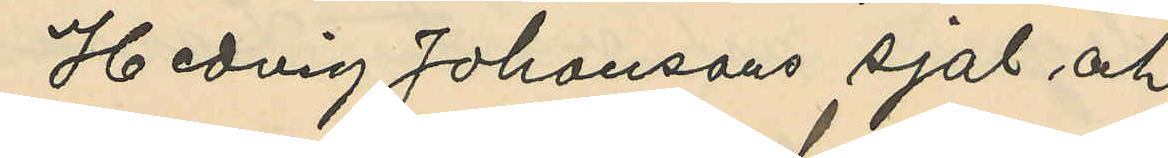Hedvig Johansons sjal och
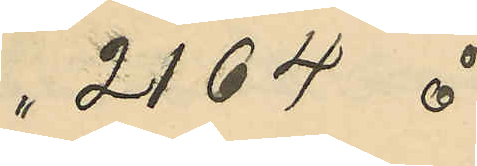" 2164 å
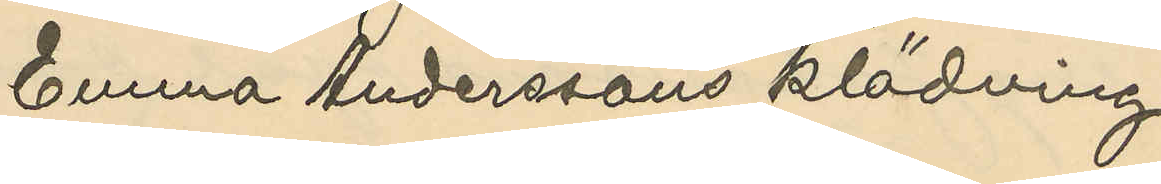Emma Anderssons klädning
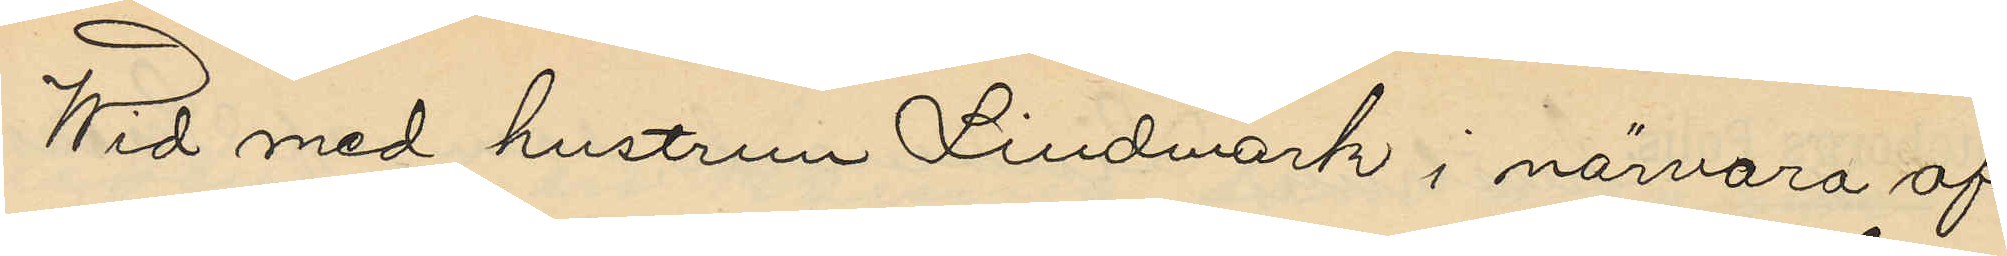Wid med hustrun Lindmark i närvaro af
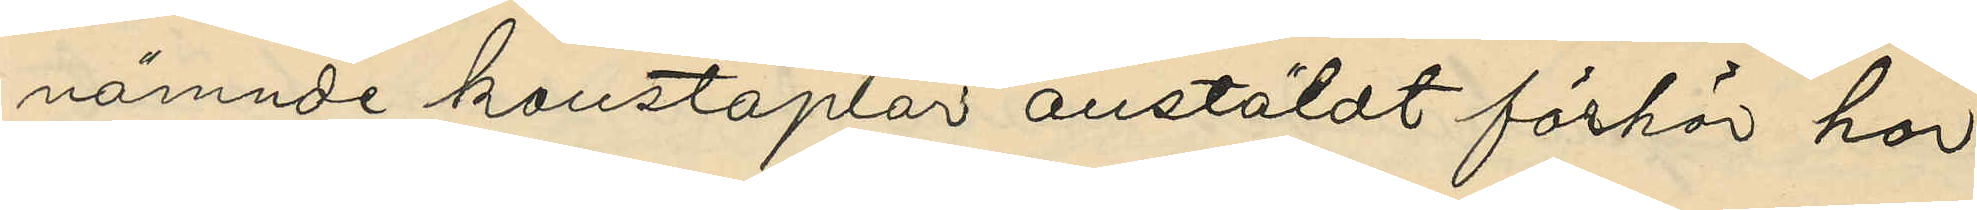nämnde konstaplar anstäldt förhör har
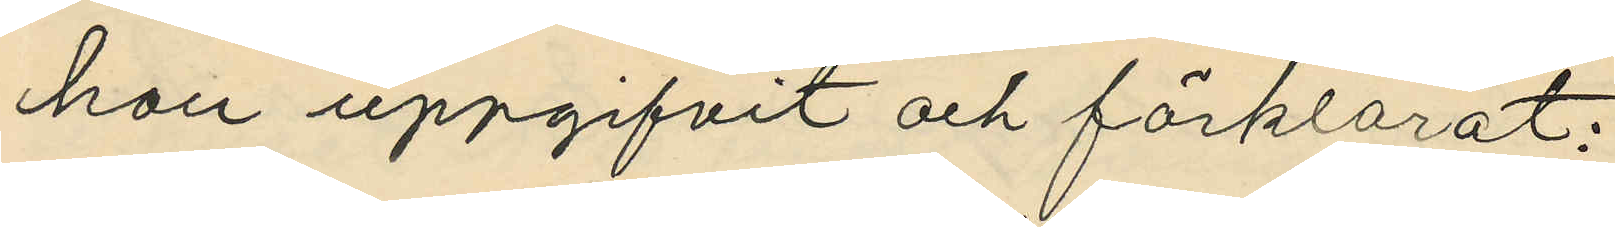hon uppgifvit och förklarat:
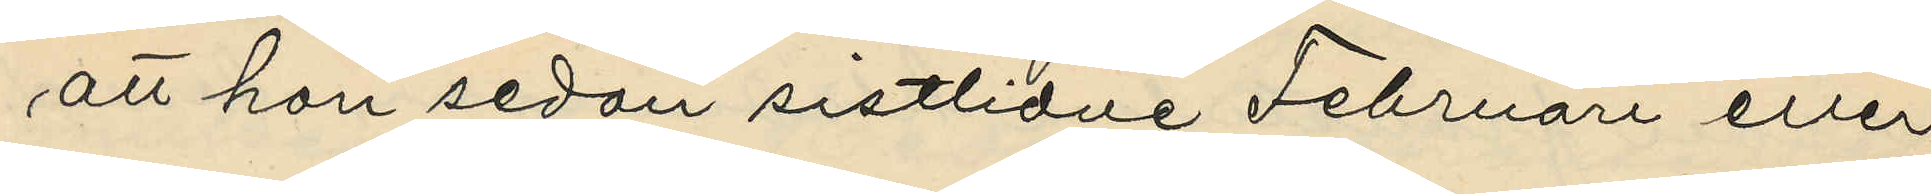att hon sedan sistlidne Februari eller
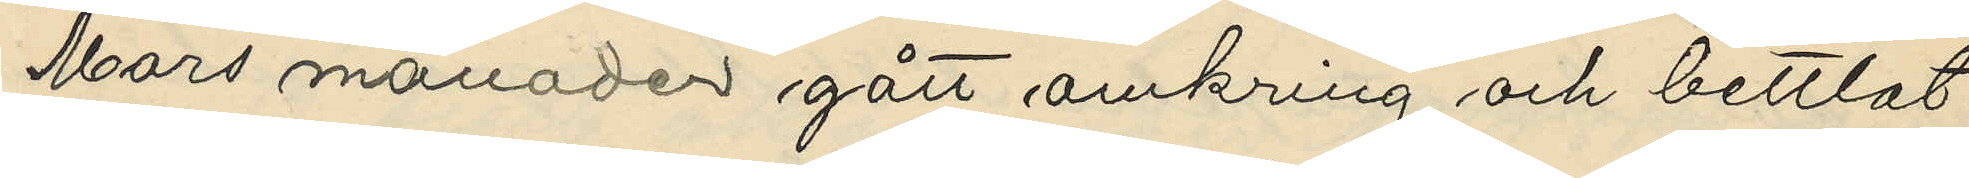Mars månader gått omkring och bettlat
